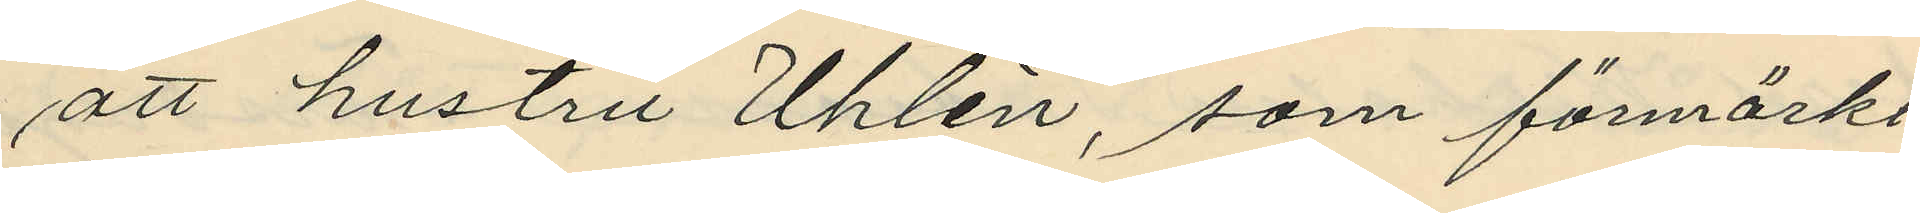att hustru Uhlén, som förmärkt
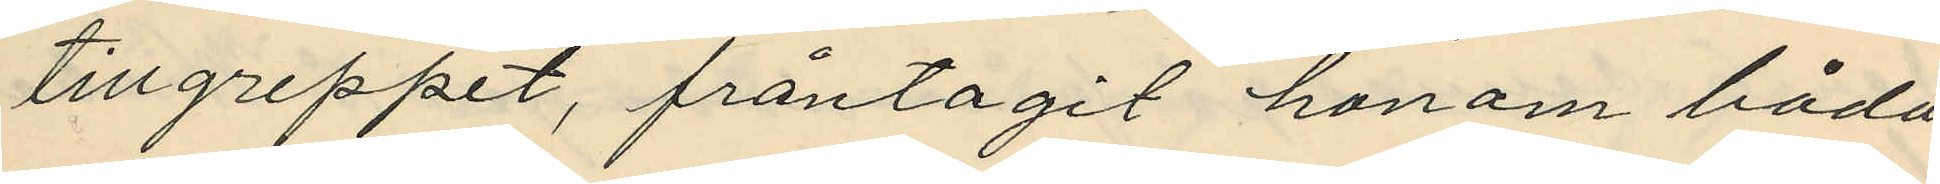tillgreppet, fråntagit honom båda
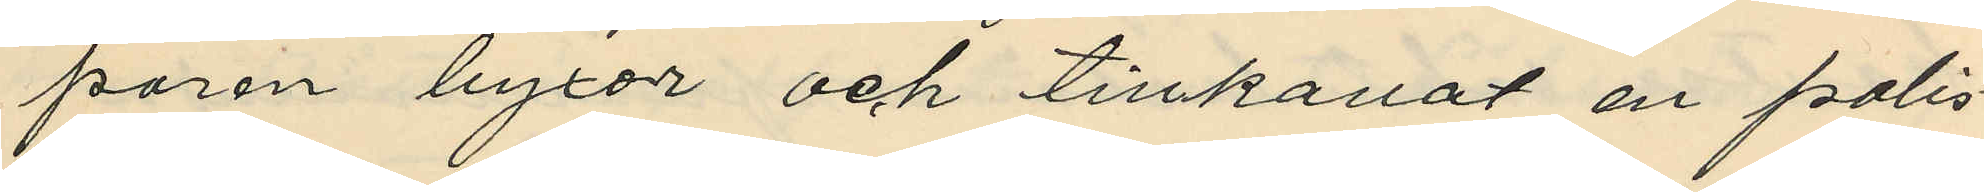paren byxor och tillkallat en polis¬
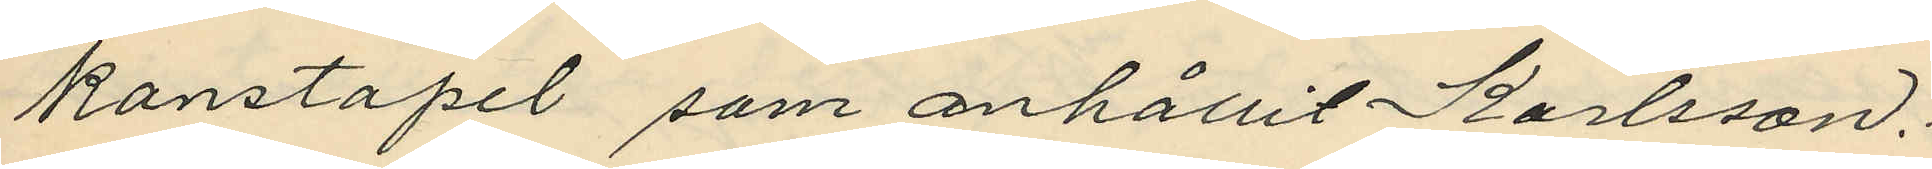konstapel som anhållit Karlsson.
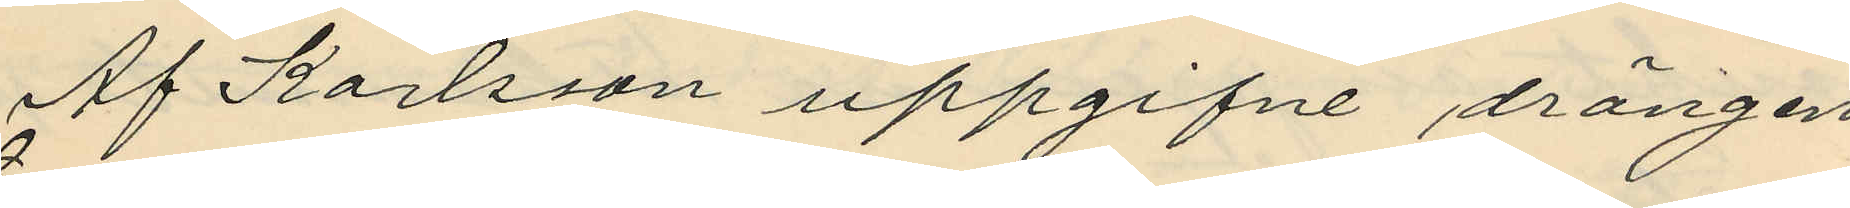Af Karlsson uppgifne drängen
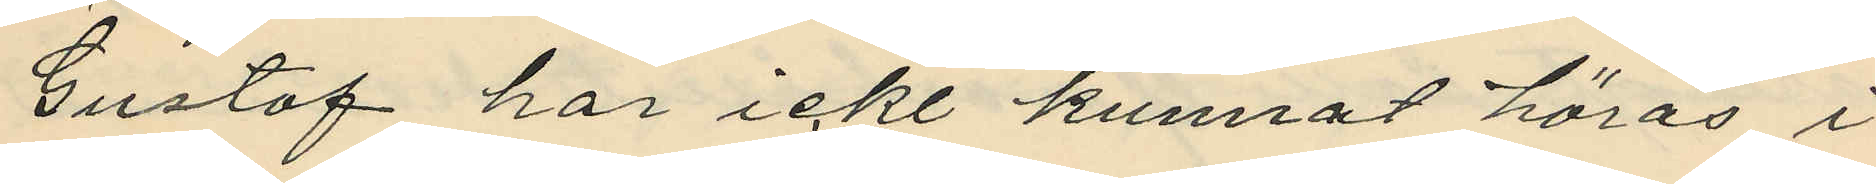Gustaf har icke kunnat höras i
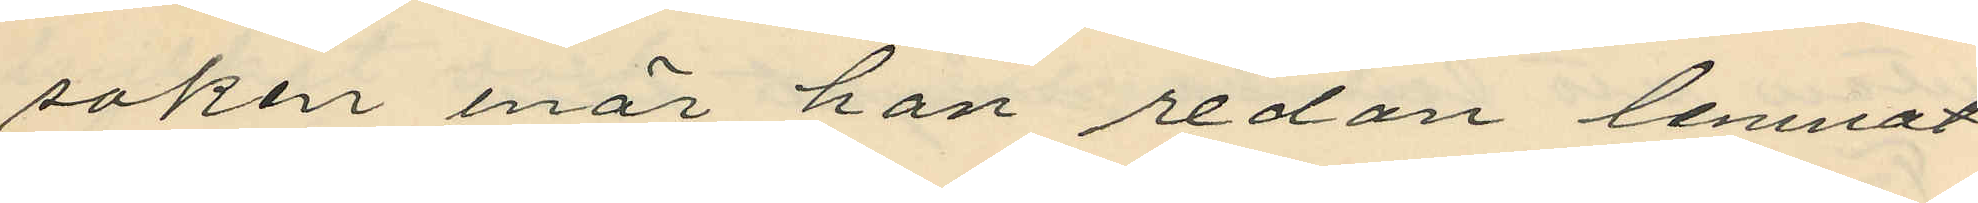saken enär han redan lemnat
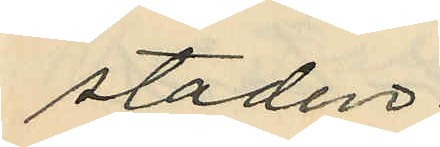staden.
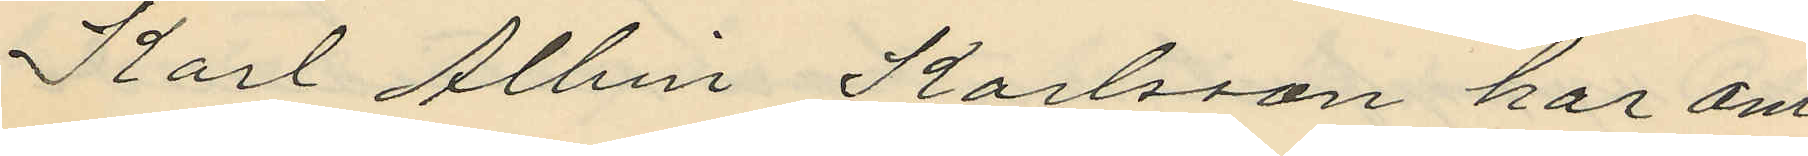Karl Albin Karlsson har om
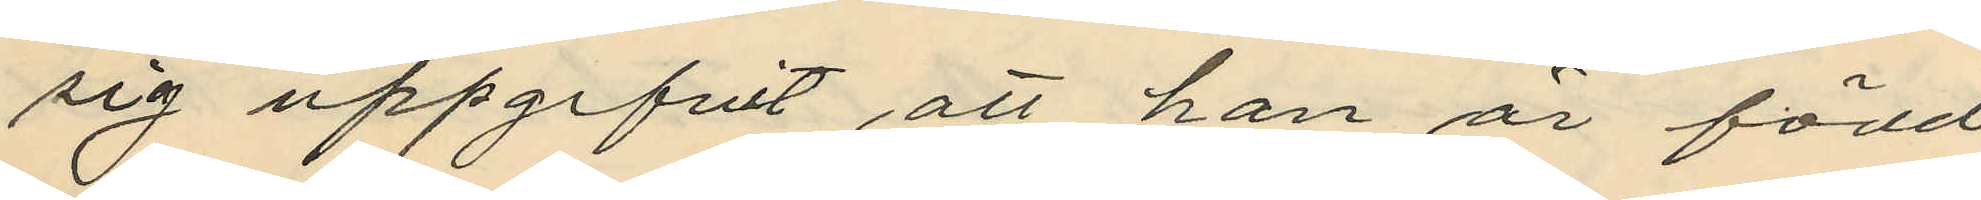sig uppgifvit att han är född
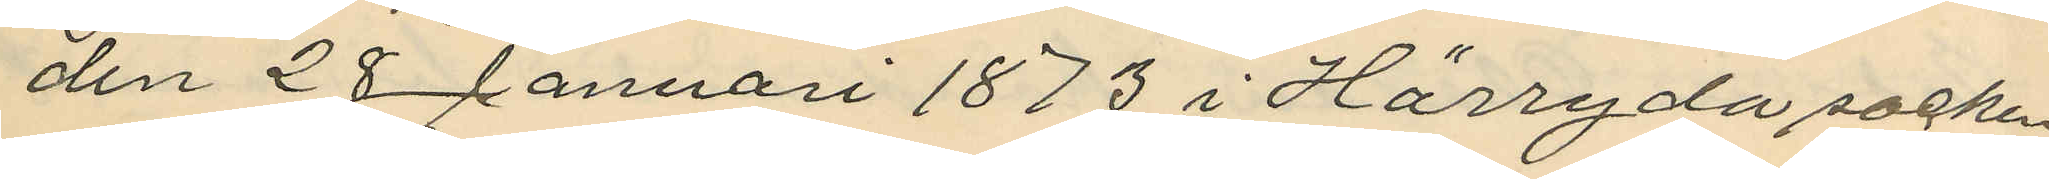den 28 Januari 1873 i Härryda socken
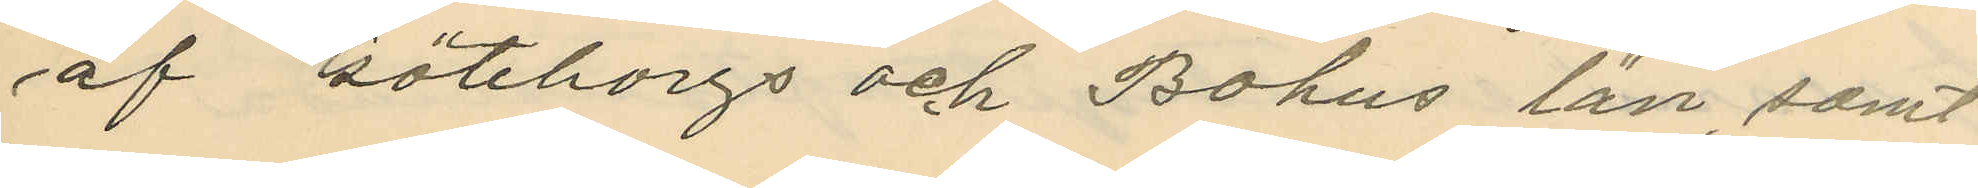af Göteborgs och Bohus län, samt
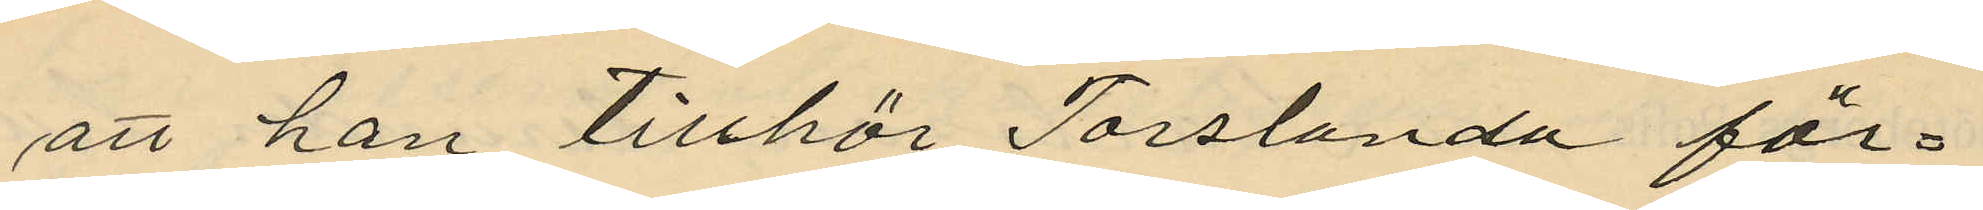att han tillhör Torslanda för¬
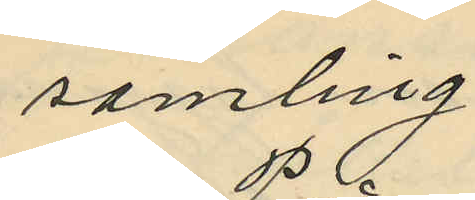samling.
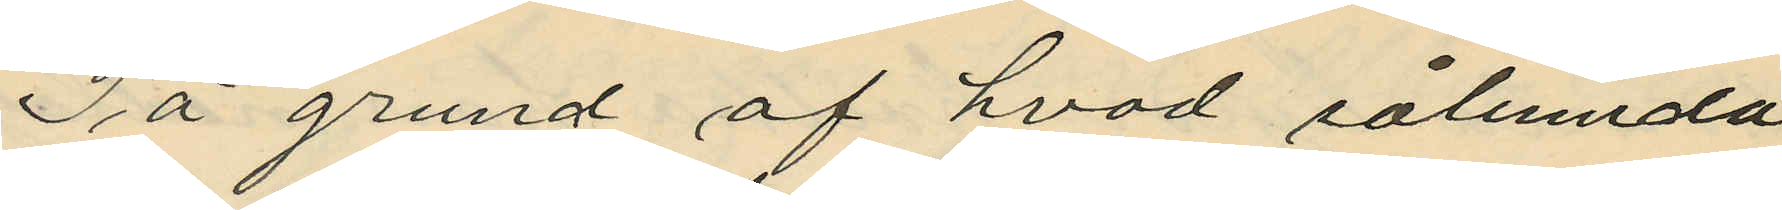På grund af hvad sålumda
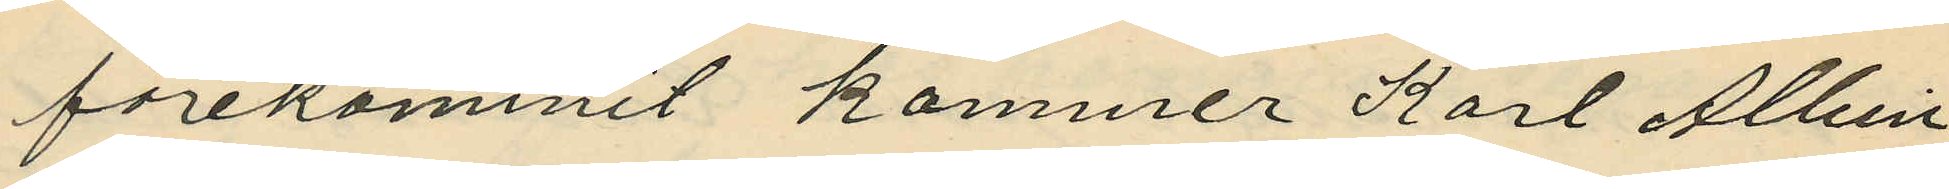förekommit kommer Karl Albin
